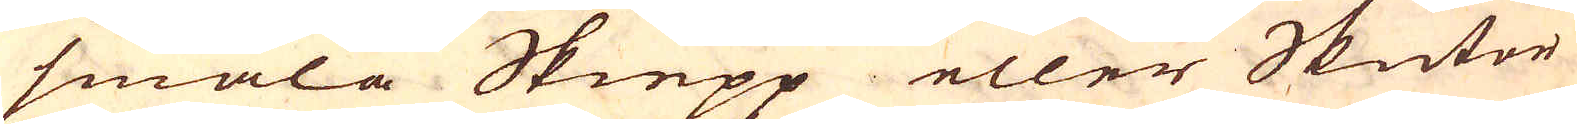smala Skiepp eller Skutor
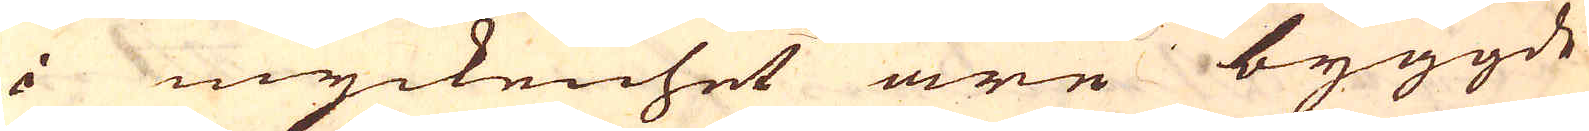i myckenhet äre byggde
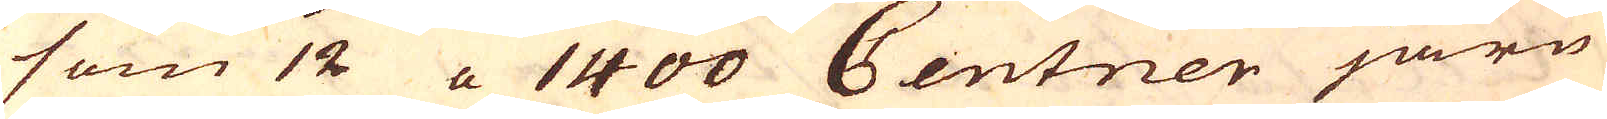som 12 a 1400 Centner järn
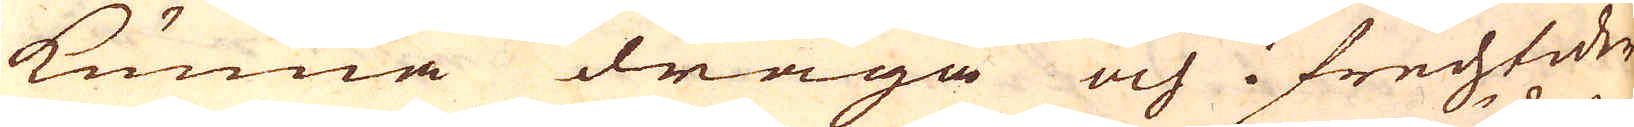kunna draga och i Frechtider
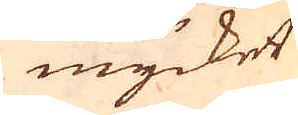mycket
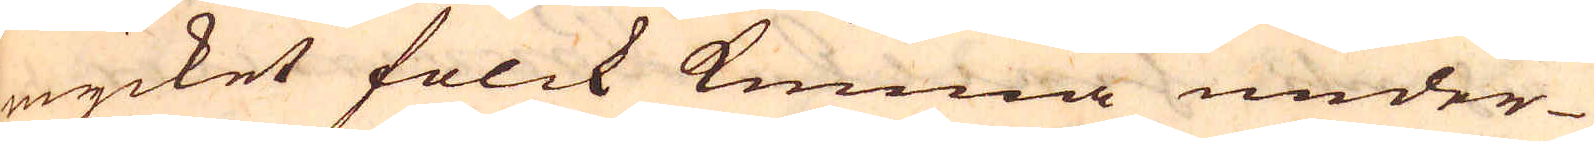mycket folck kunna under-
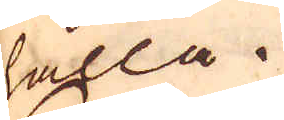hålla.
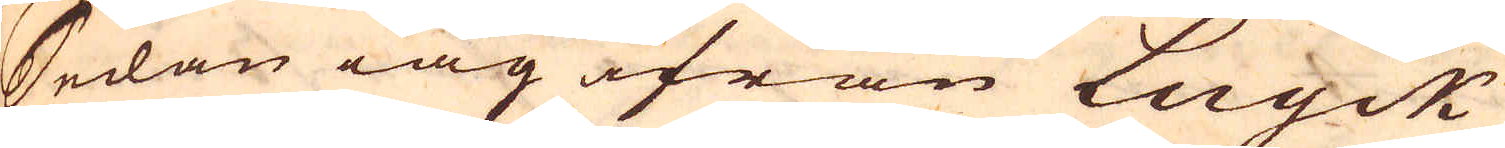Sedan iag ifrån Luyck
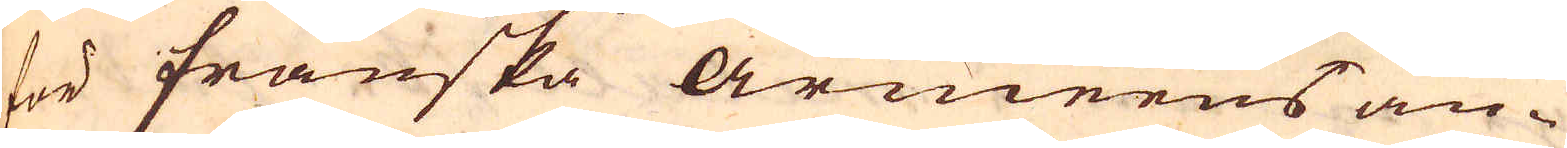för Franska armeens an-
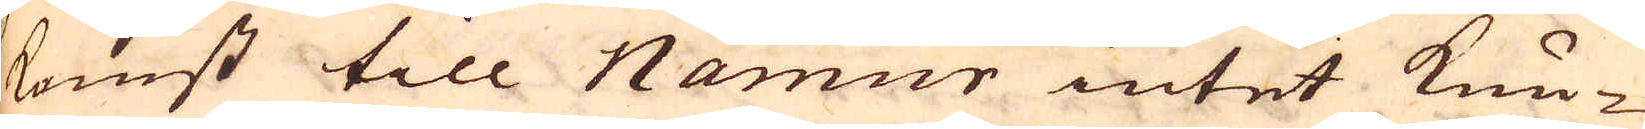komst till Namur intet kun-
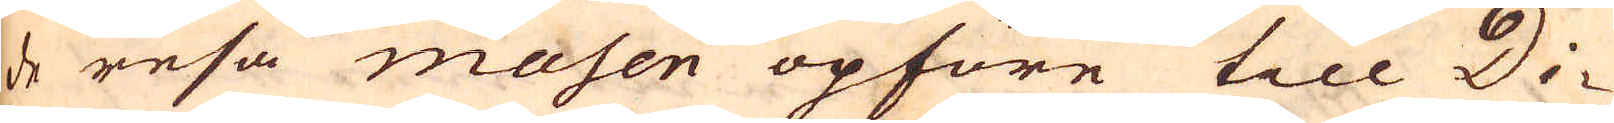de resa masen opföre till Di-
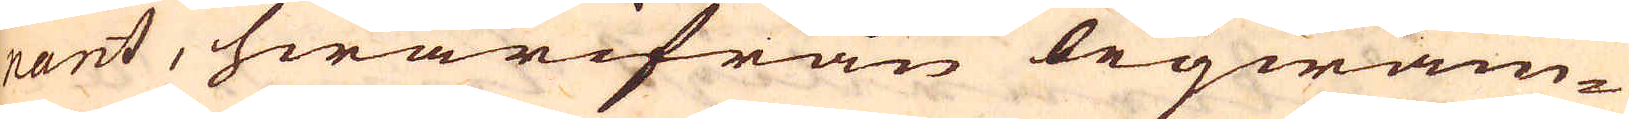nant, hwarifrån beqwäm-
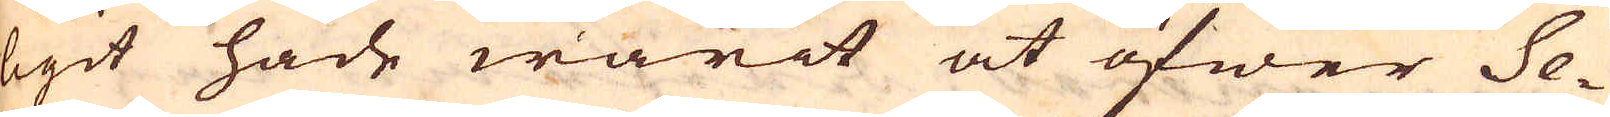ligit hade warit at öfwer Se-
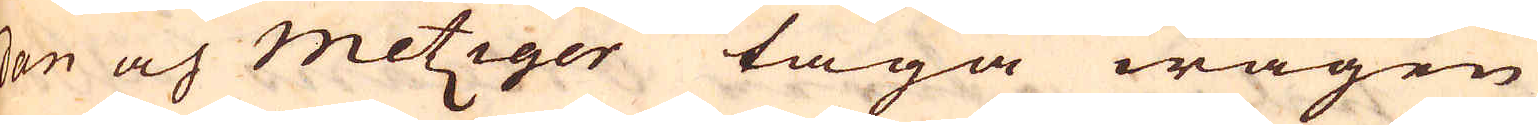dan och metziger taga wägen
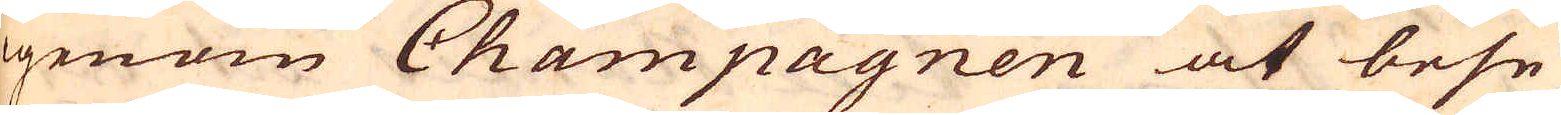igenom Champagnen at bese
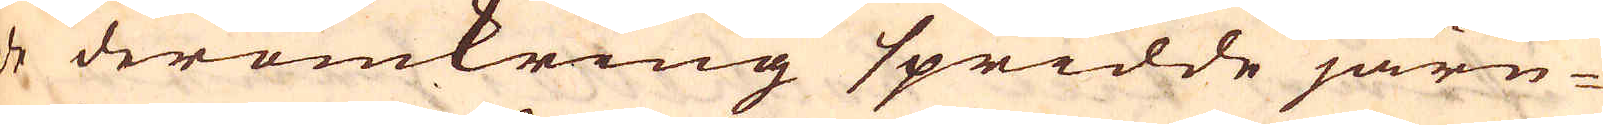de deromkring spridde järn-
